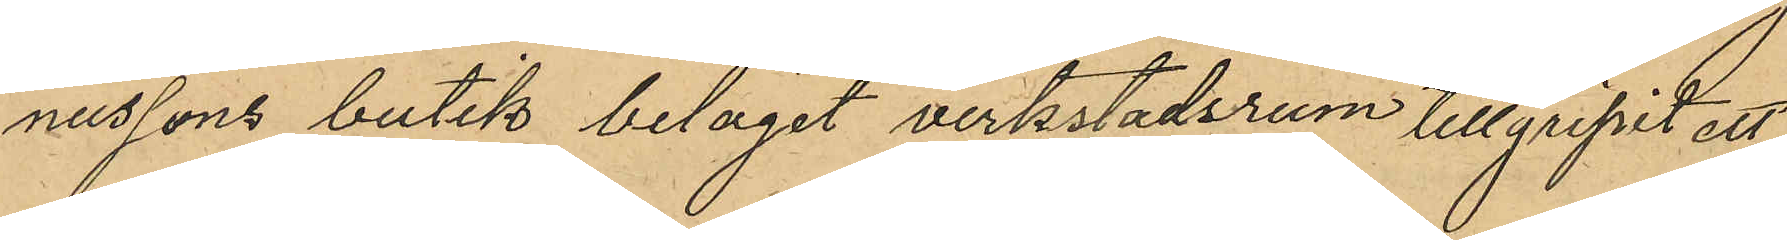nussons butik beläget verkstadsrum tillgripit ett
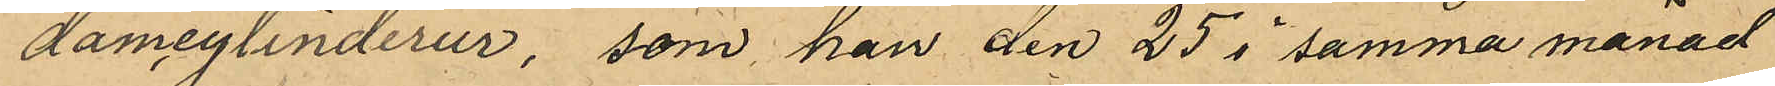damcylinderur, som han den 25 i samma månad
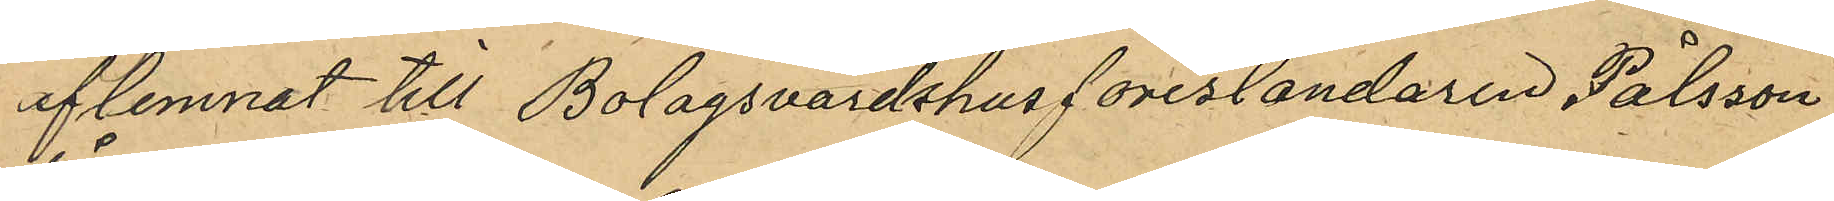aflemnat till Bolagsvärdshusföreståndaren Pålsson
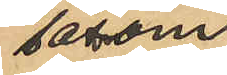såsom
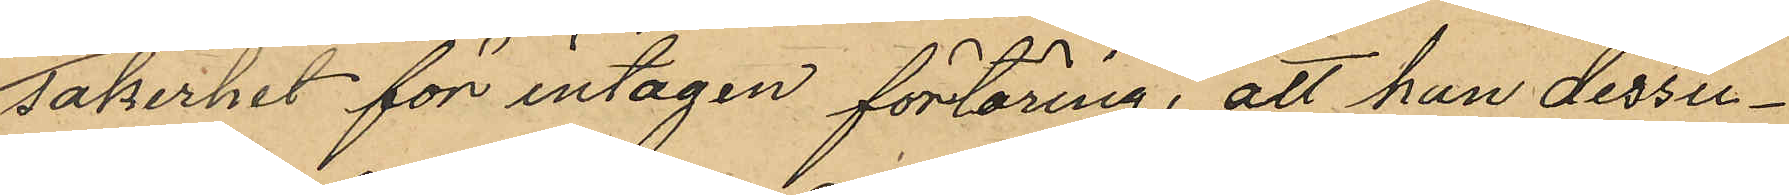säkerhet för intagen förtäring, att han dessu¬
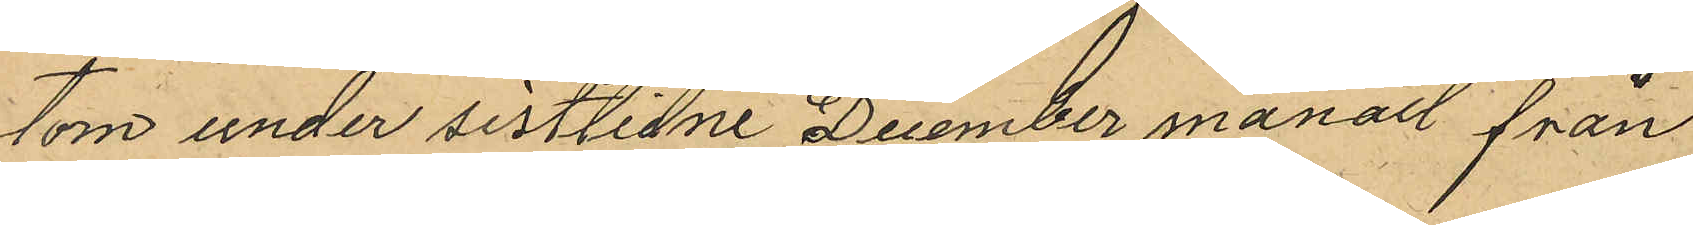tom under sistlidne December månad från
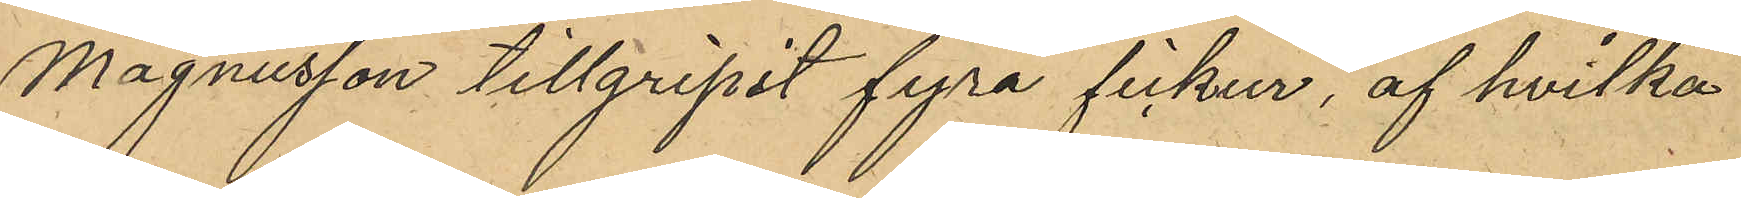Magnusson tillgripit fyra fickur, af hvilka
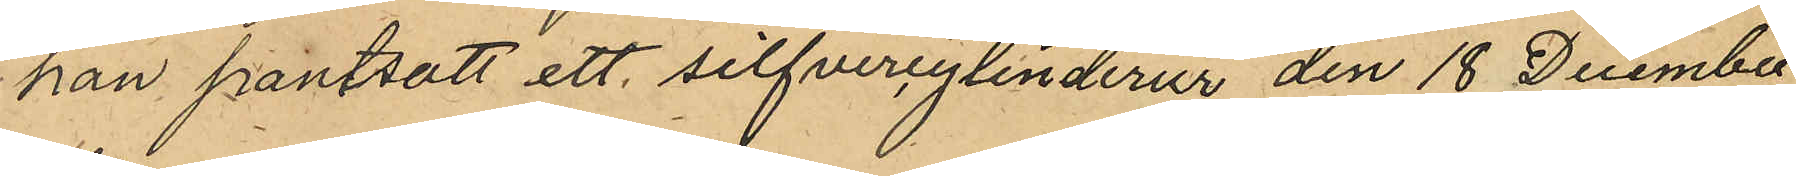han pantsatt ett silfvercylinderur den 18 December
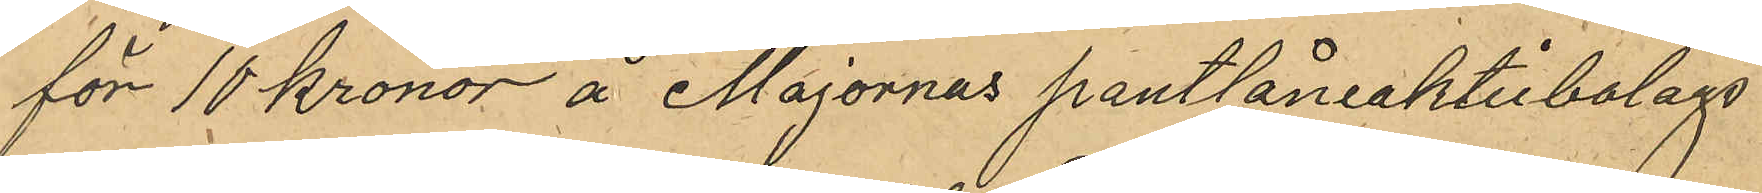för 10 kronor å Majornas pantlåneaktiebolags
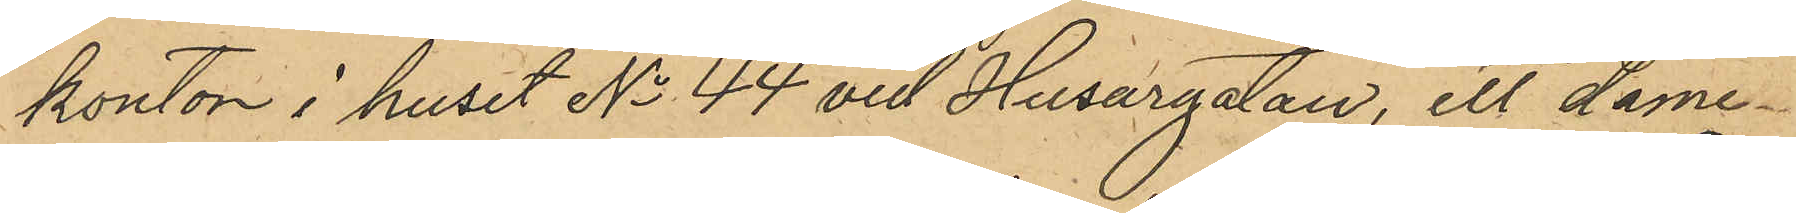kontor i huset No 44 vid Husargatan, ett dame¬
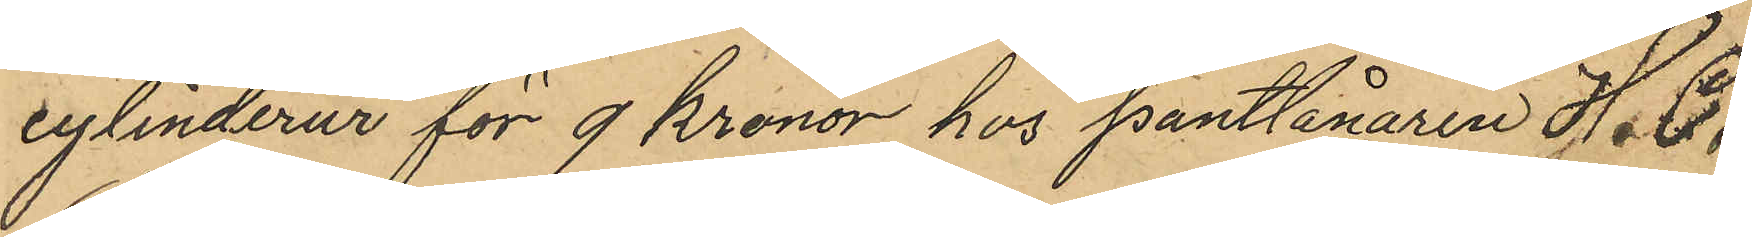cylinderur för 9 kronor hos Pantlånaren H. C.
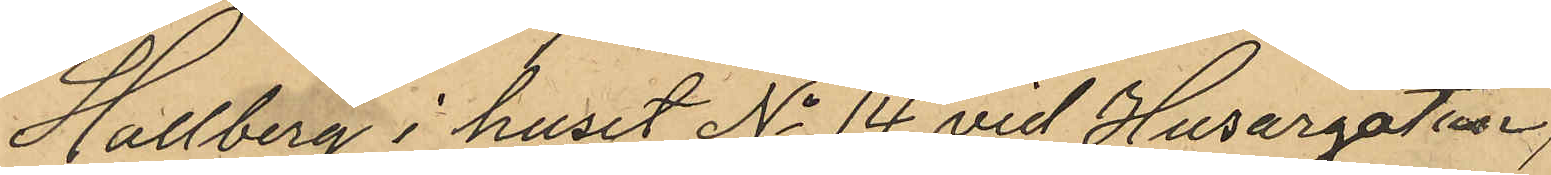Hallberg i huset No 14 vid Husargatan,
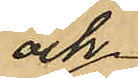och
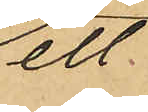ett
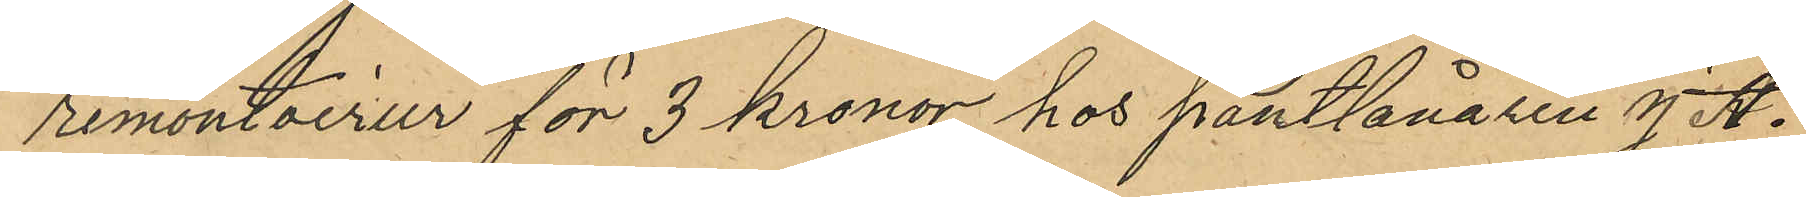remontoirur för 3 kronor hos Pantlånaren J. A.
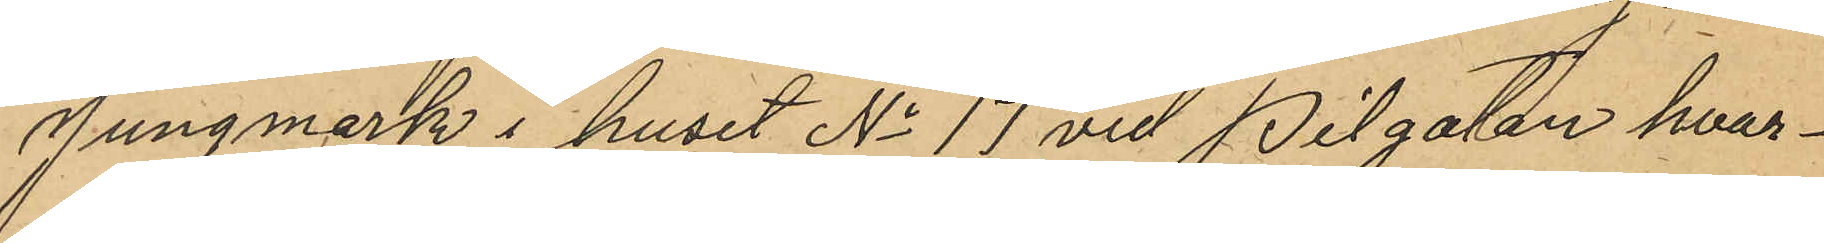Jungmark i huset No 17 vid Pilgatan hvar¬
